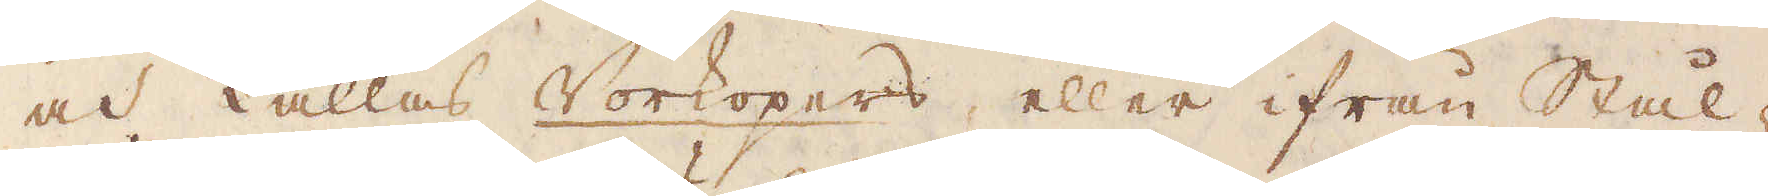och kallas Vorkopers, eller ifrån Stål-
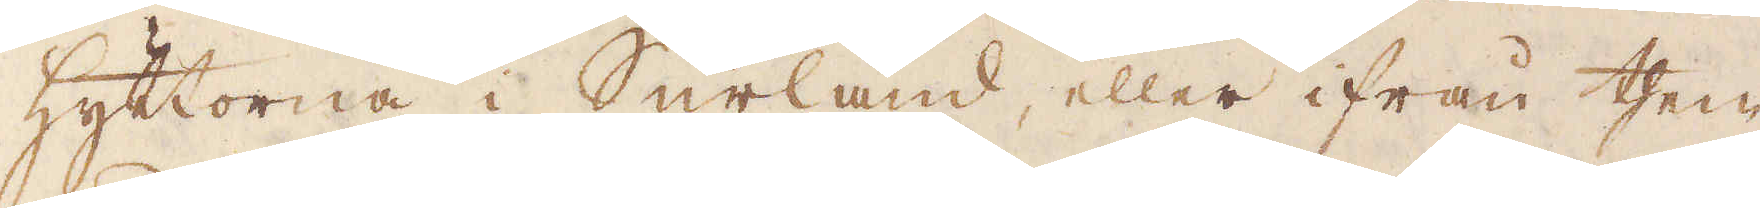hyttorna i Surland, eller ifrån them
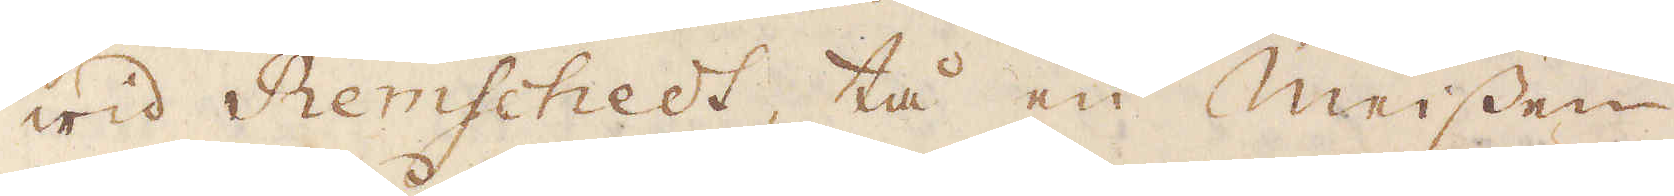wid Remschedt, tå en Meissen
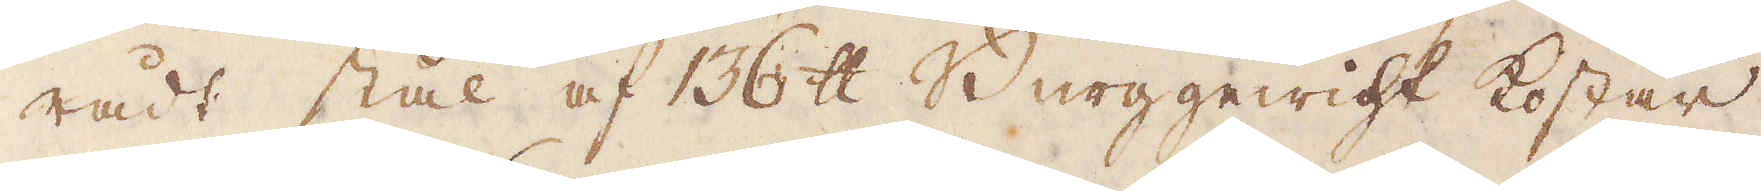rådt stål af 136 skålpund Berggewigt kostar
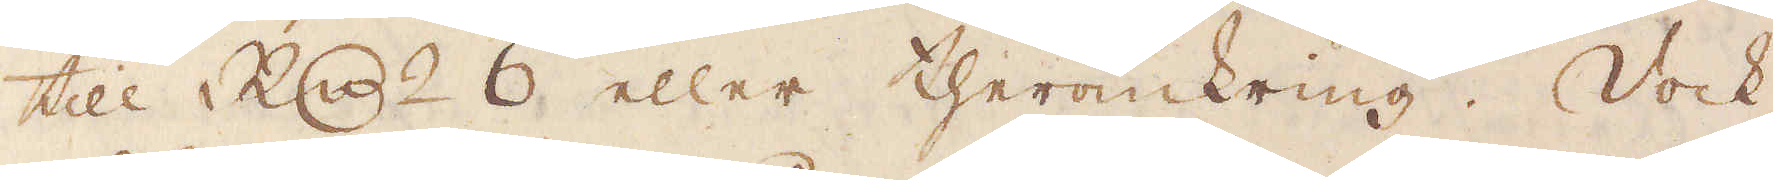till R:dr 6 eller theromkring. Dock
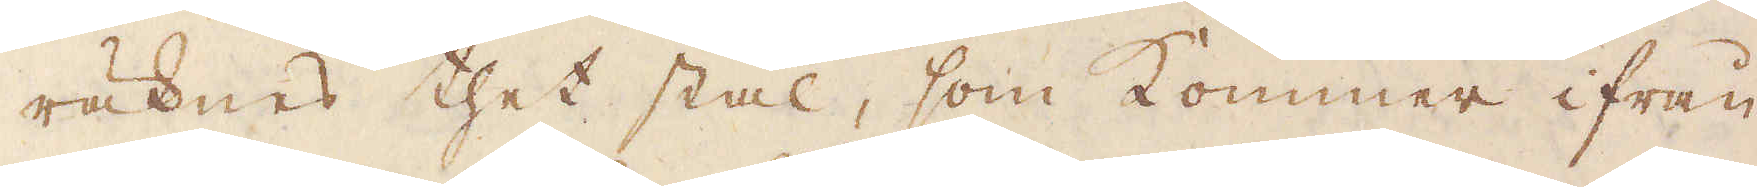räknas thet stäl, som kommer ifrån
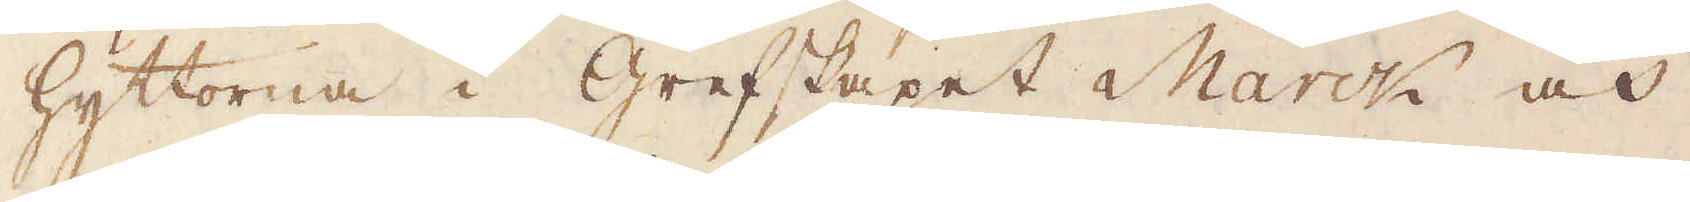hyttorna i grefskapet Marck och
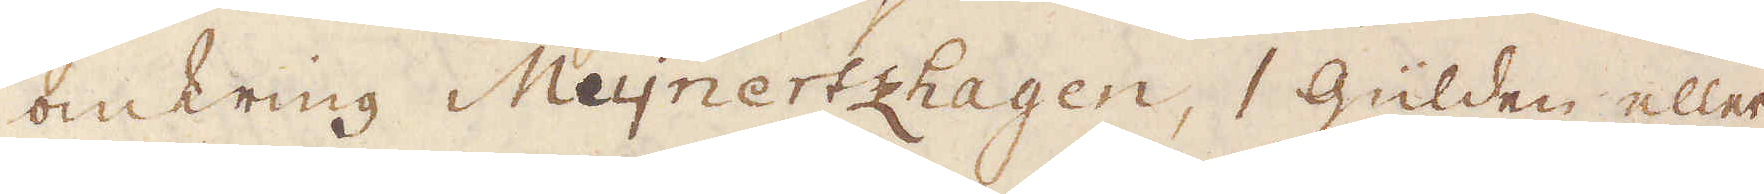omkring Meijnerzthagen, 1 gülden eller
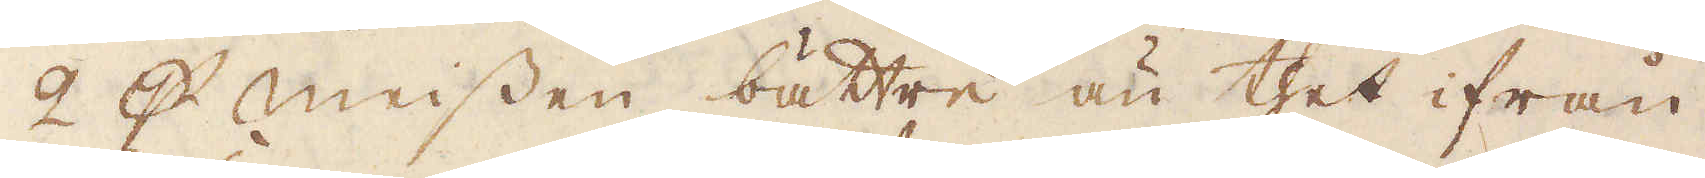2 p Meissen bättre än thet ifrån
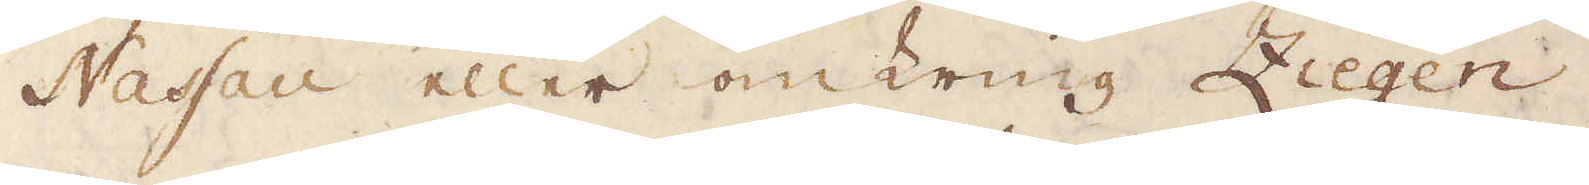Nassau eller omkring Ziegen.
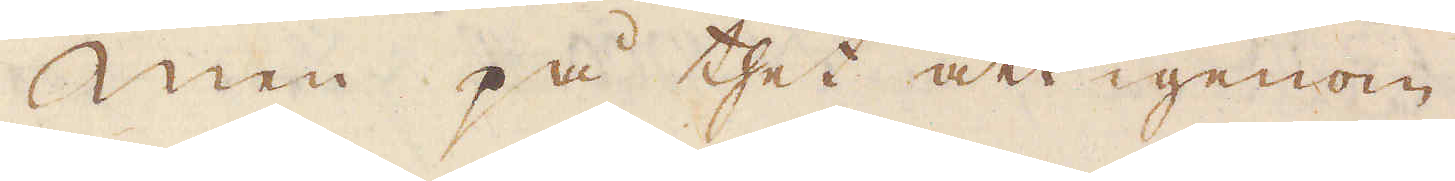Men på thet att igenom
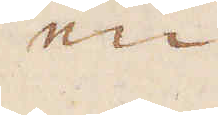en
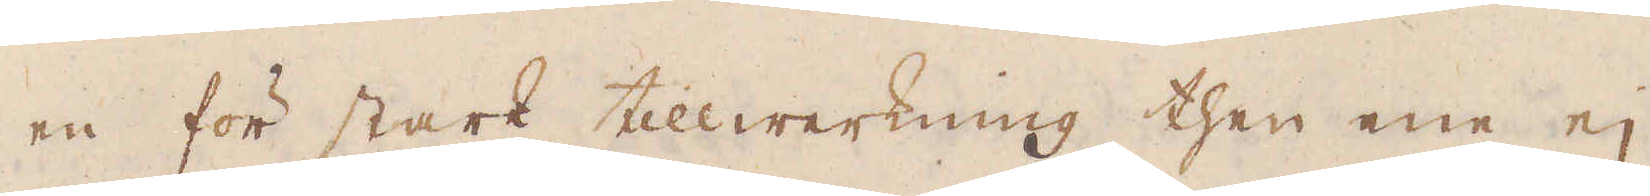en för stark tillwerkning then ene ej
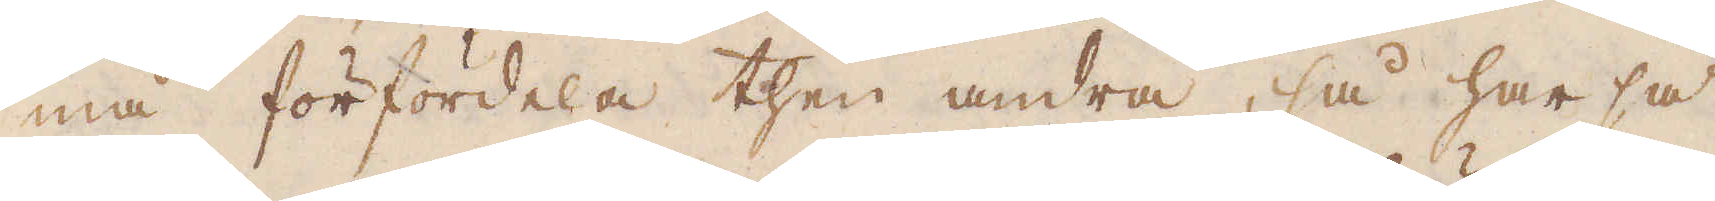må förfördela then andra, så har så
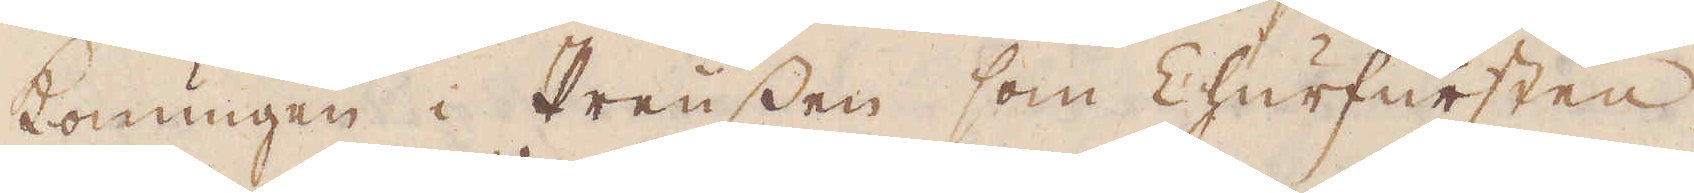konungen i Preussen som Churfursten
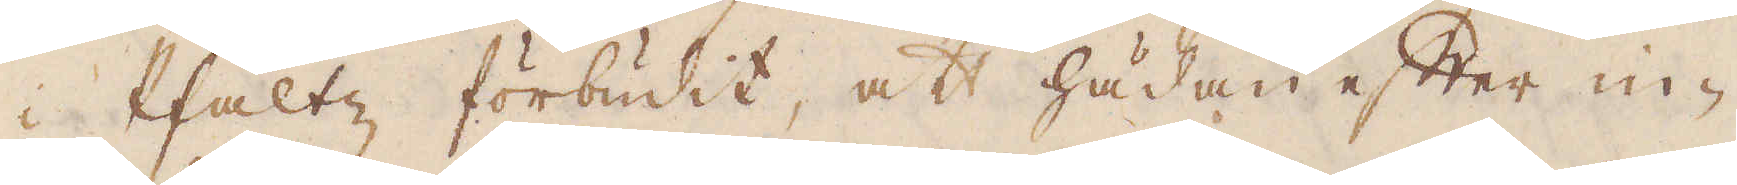i Pfaltz förbudit, att hädanefter in-
